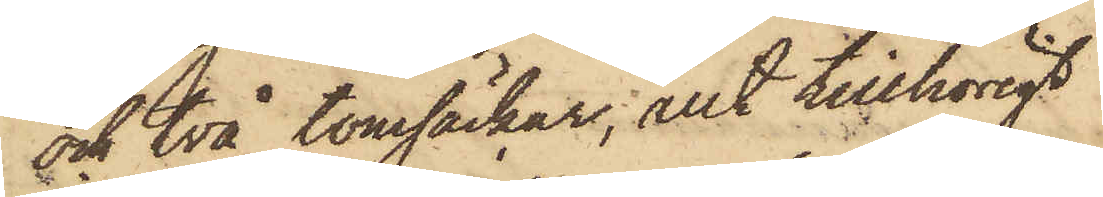och två tomsäckar; allt tillhörigt
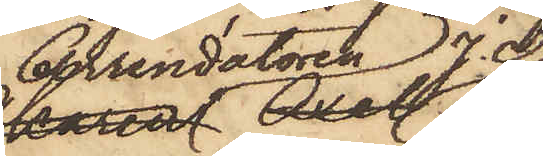Arrendatoren J. A.
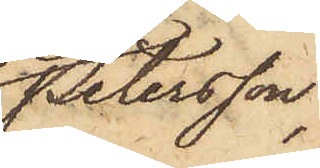Petersson,
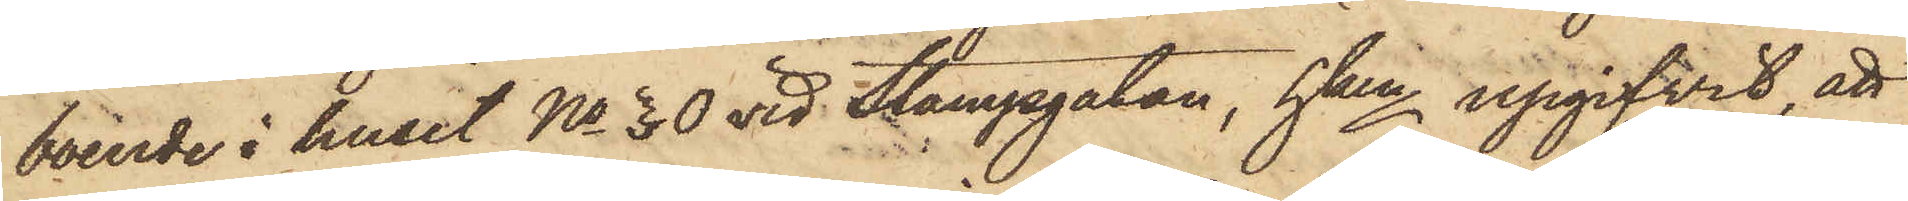boende i huset No 30 vid Stampgatan, hken upgifvit, att
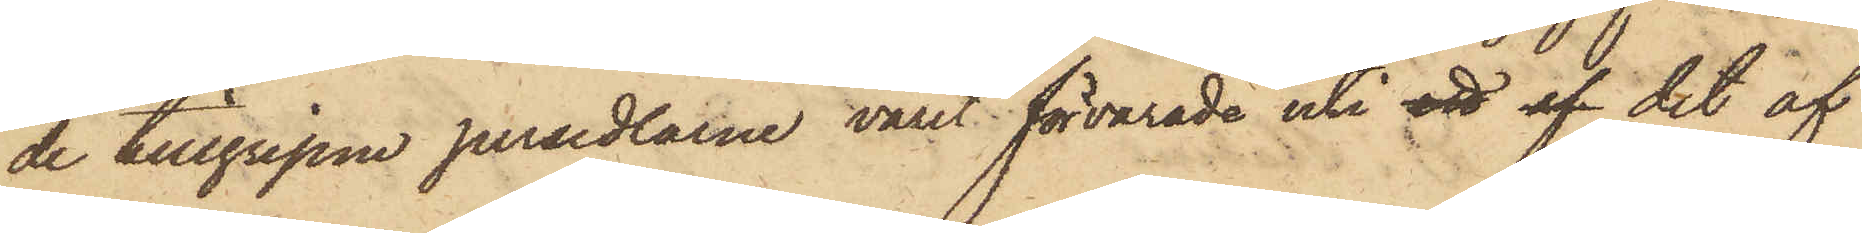de tillgripne persedlarne varit förvarade uti ett af det af
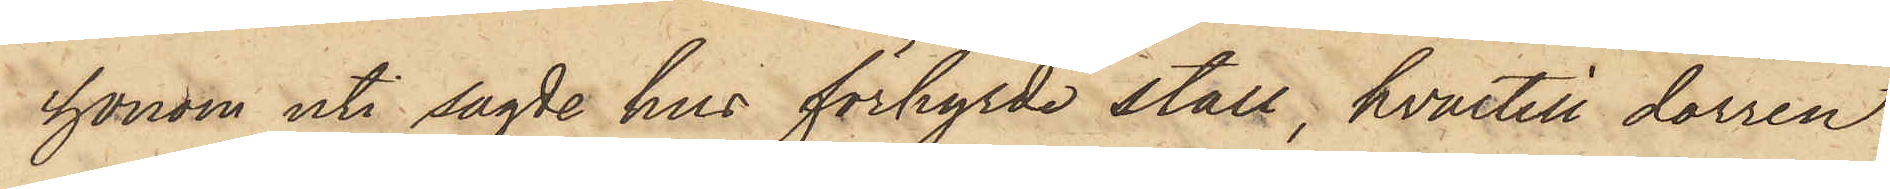honom uti sagde hus förhyrde stall, hvartill dörren
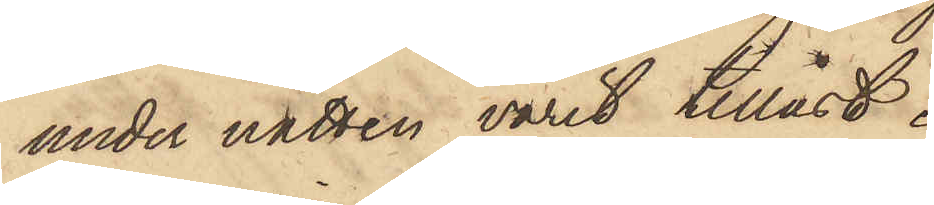under natten varit tillåst.
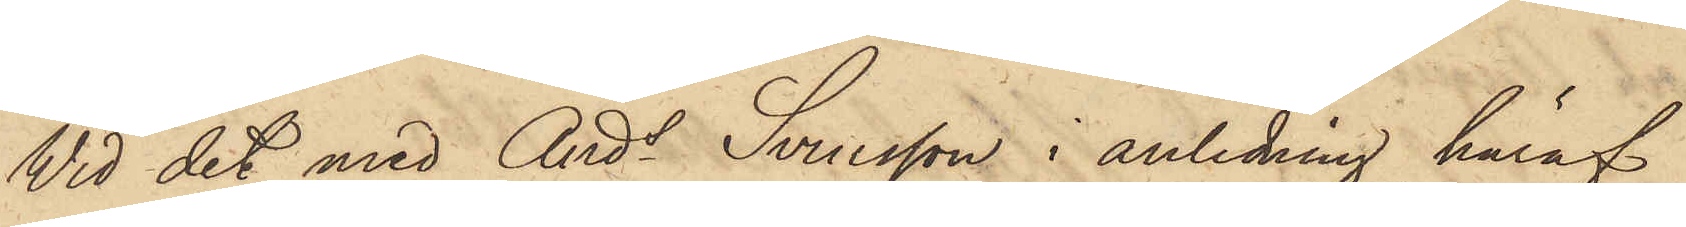Vid det med Ands Svensson i anledning häraf
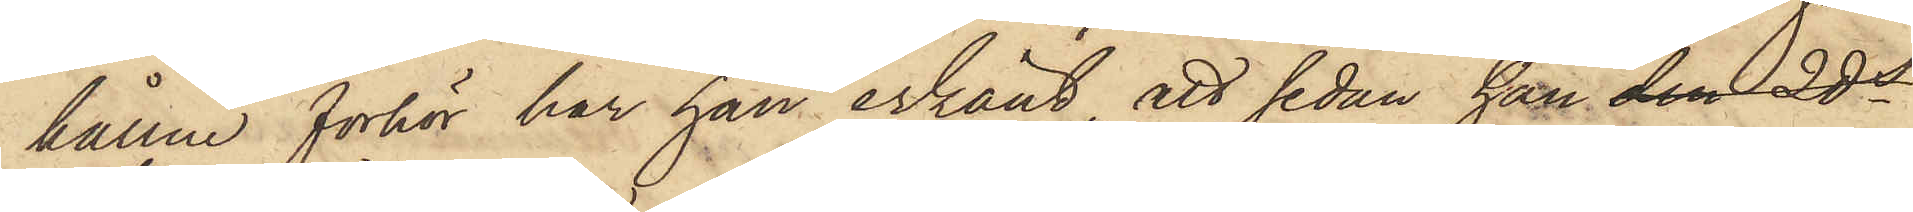hållne förhör har han erkänt, att sedan han den 2ds
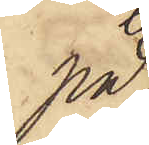på
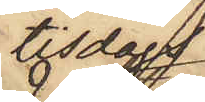tisdag
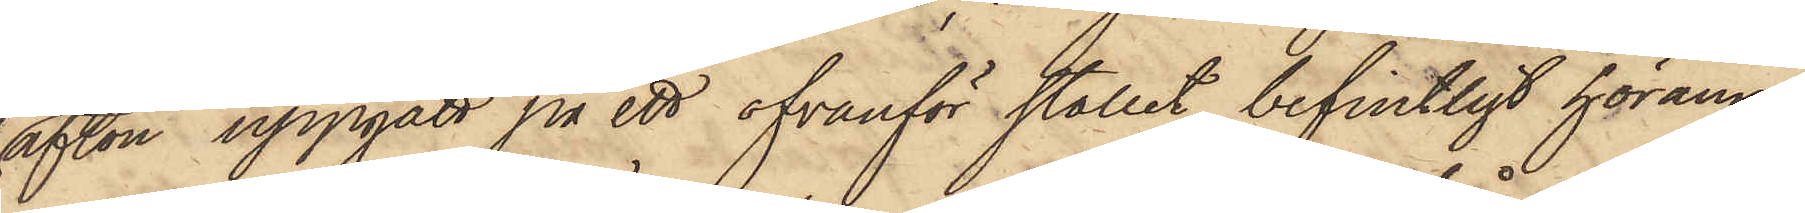afton uppgått på ett ofvanför stallet befintligt höränne,
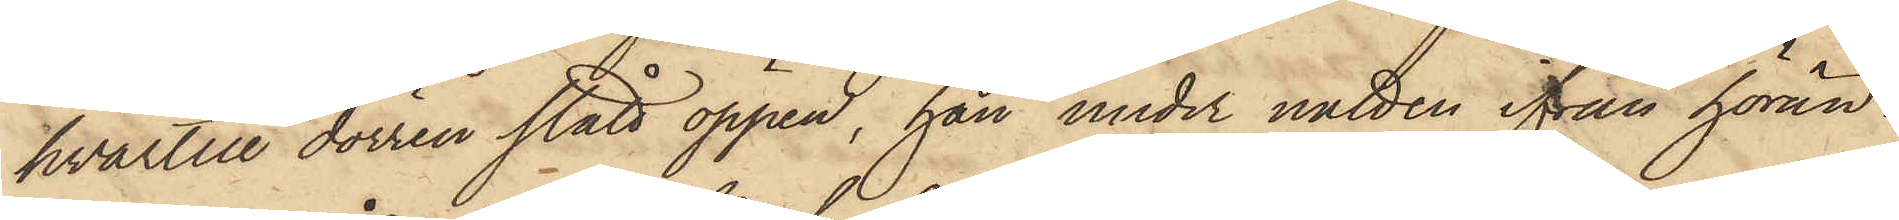hvartill dörren stått öppen, han under natten ifrån hörän¬
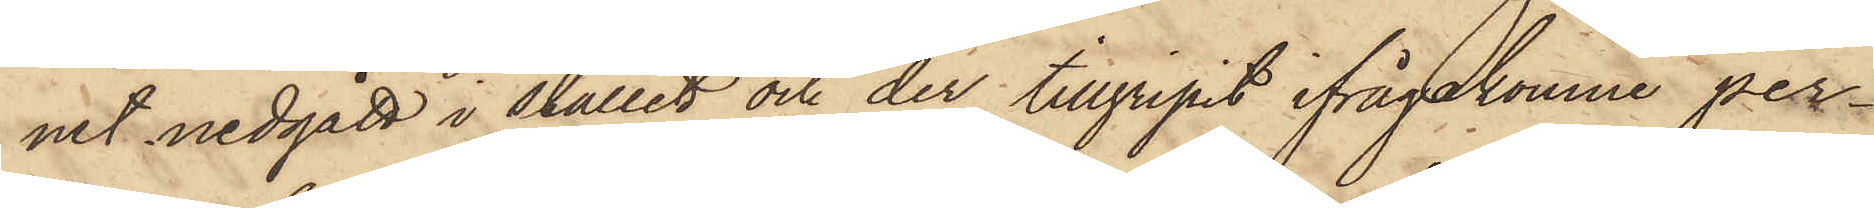net nedgått i stallet och der tillgripit ifrågakomne per¬
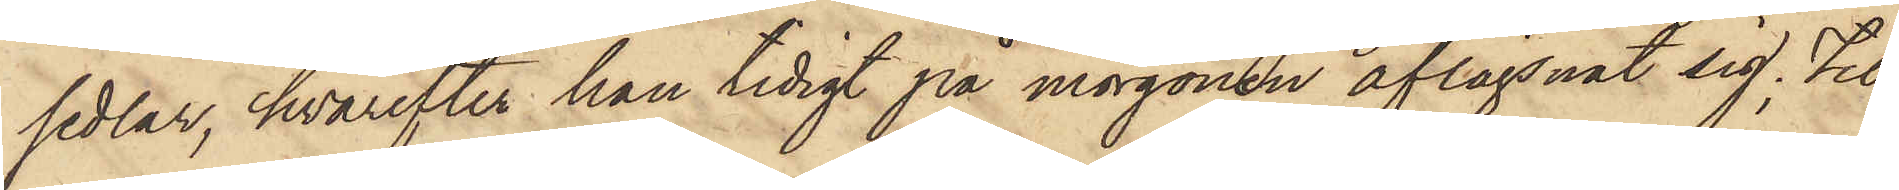sedlar, hvarefter han tidigt på morgonen aflägsnat sig, til¬
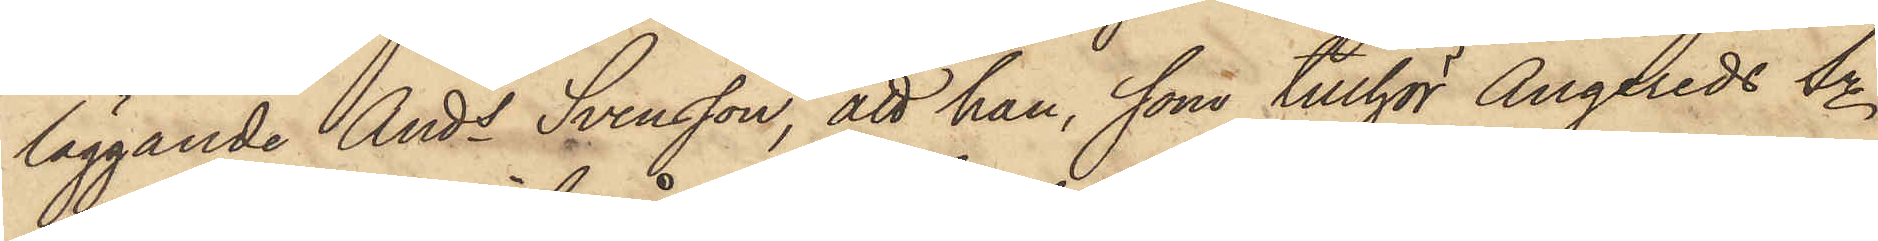läggande Ands Svensson, att han, som tillhör Angereds Sn
